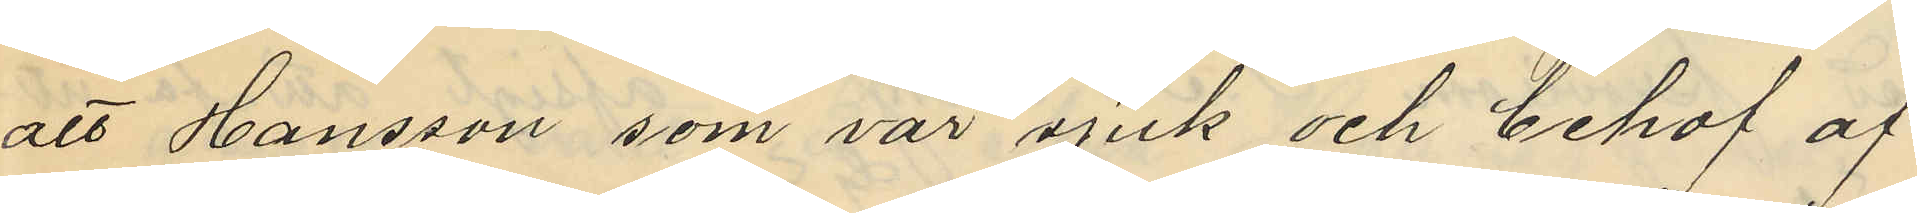att Hansson som var sjuk och behof af
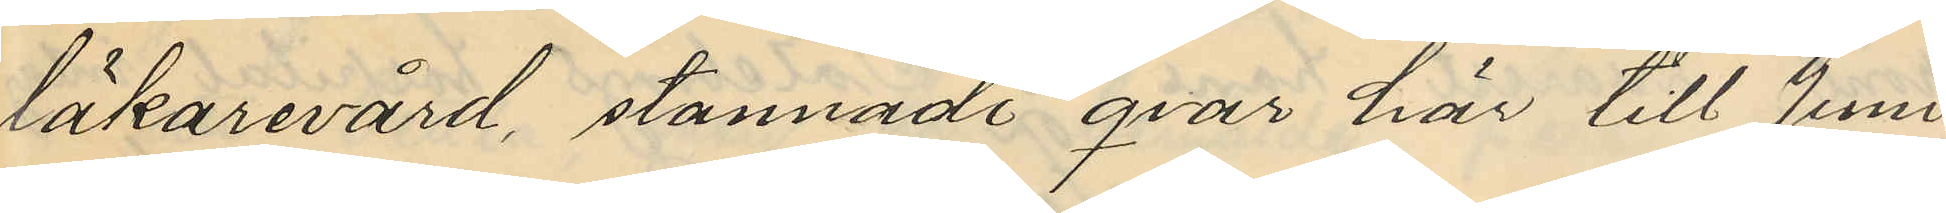läkarevård, stannade qvar här till Juni
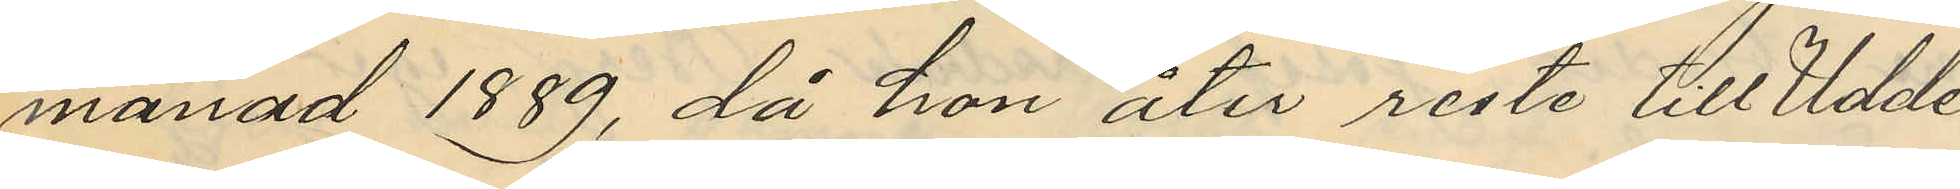månad 1889, då hon åter reste till Udde¬
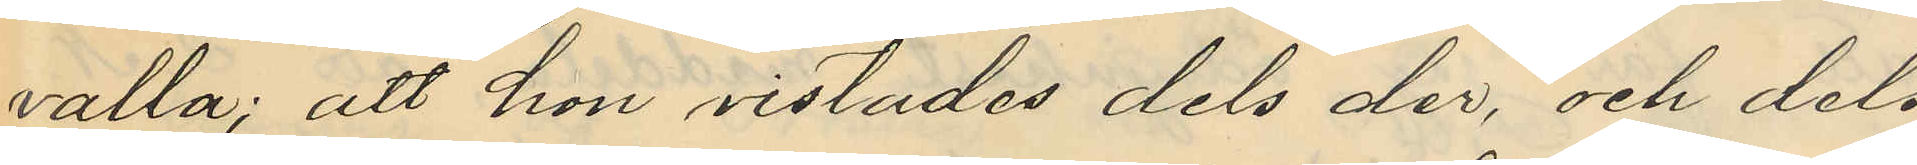valla; att hon vistades dels der, och dels
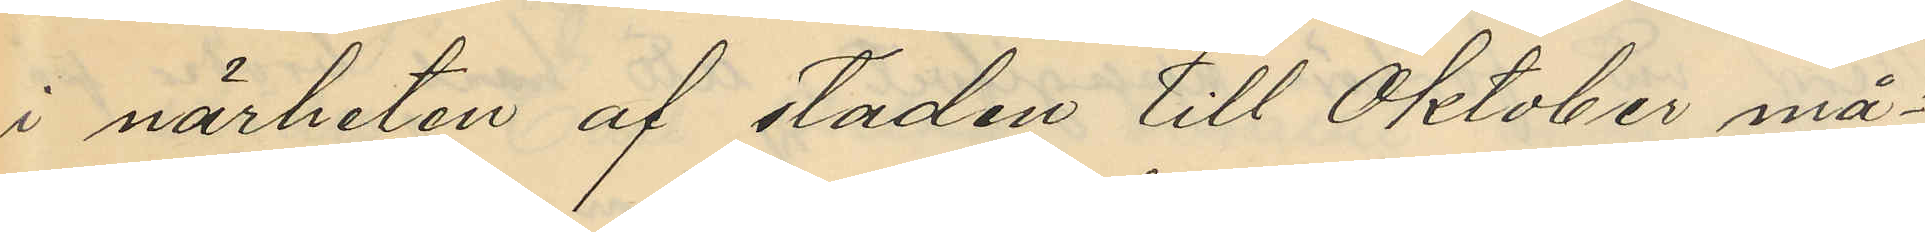i närheten af staden till Oktober må¬
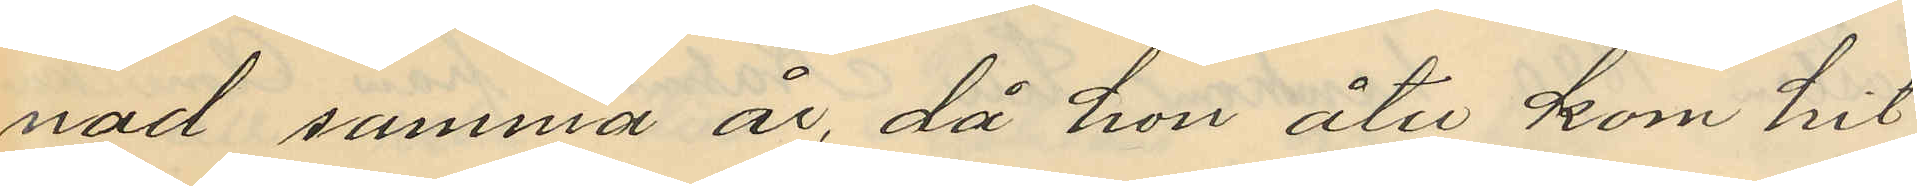nad samma år, då hon åter kom hit
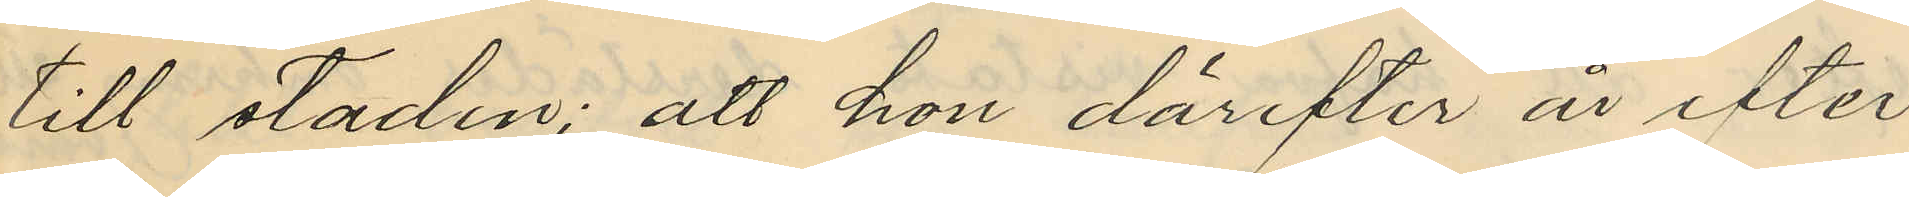till staden; att hon derefter år efter
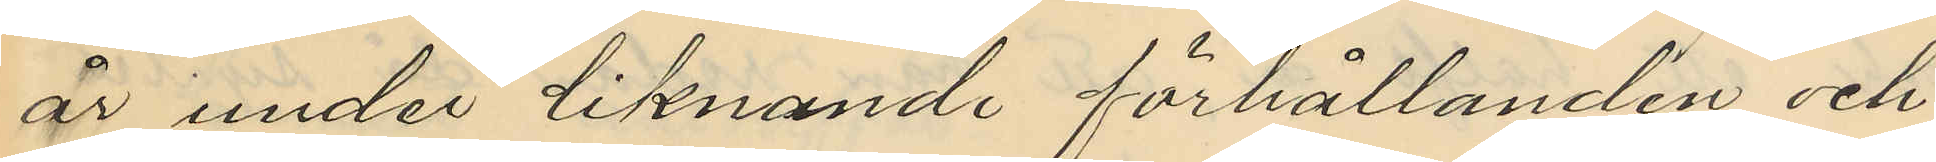år under liknande förhållanden och
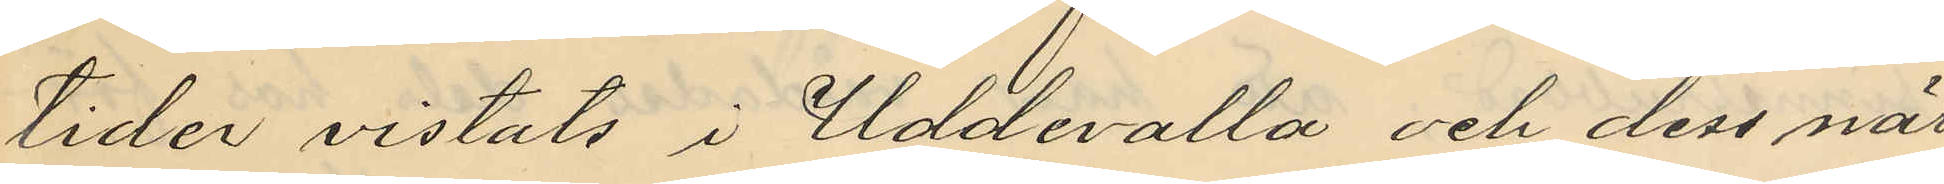tider vistats i Uddevalla och dess när¬
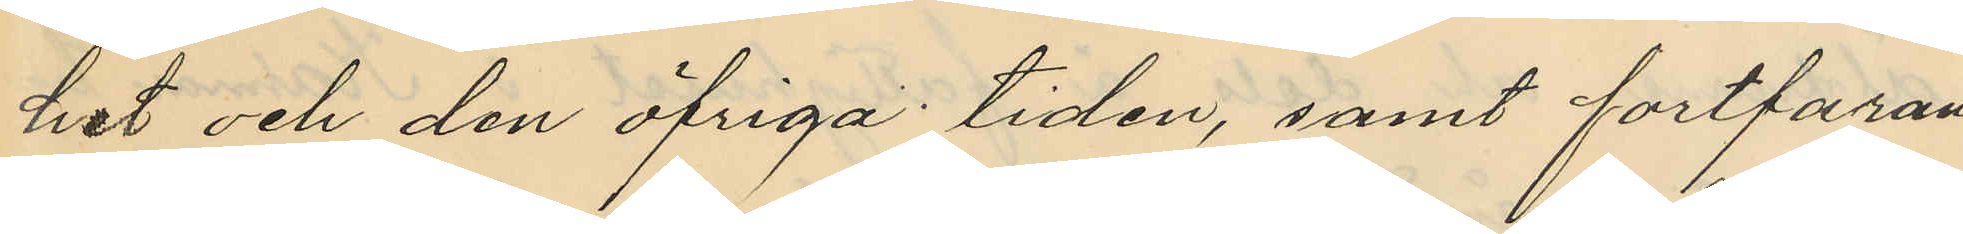het och den öfriga tiden, samt fortfaran¬
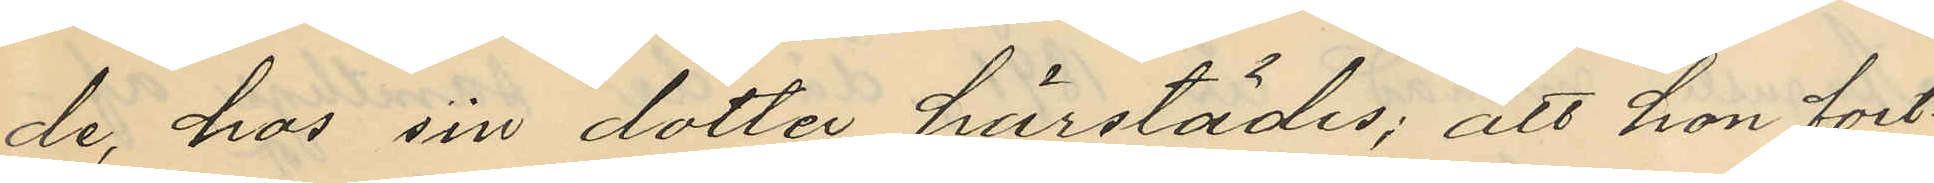de hos sin dotter härstädes; att hon fort¬
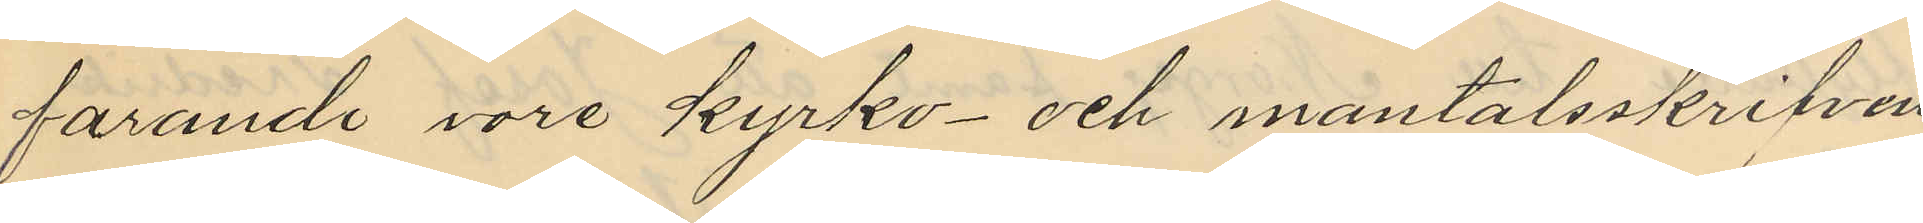farande vore kyrko- och mantalsskrifven
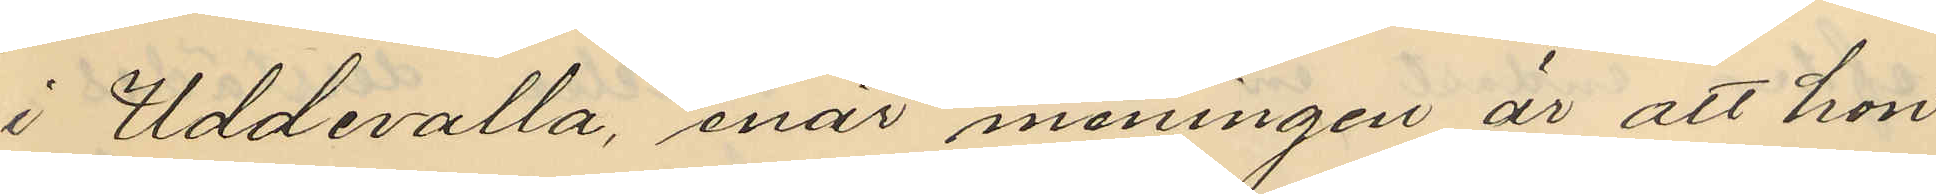i Uddevalla enär meningen är att hon
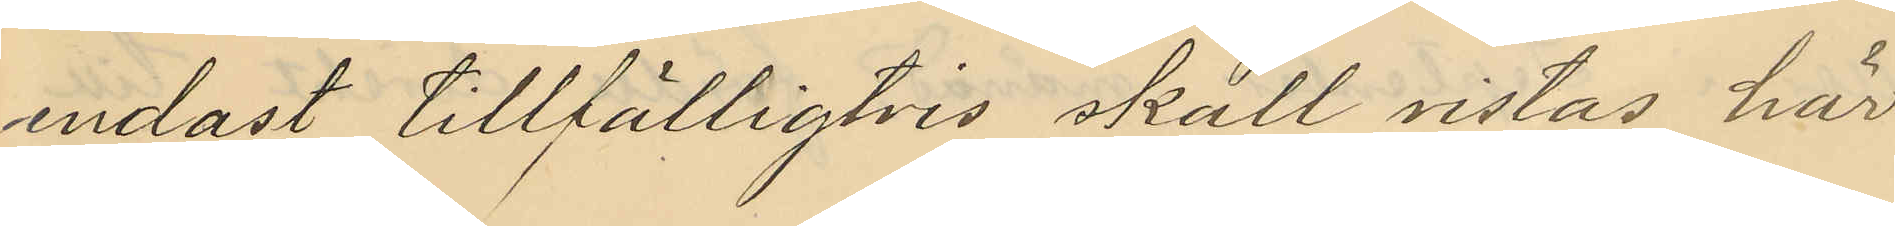endast tillfälligtvis skall vistas här
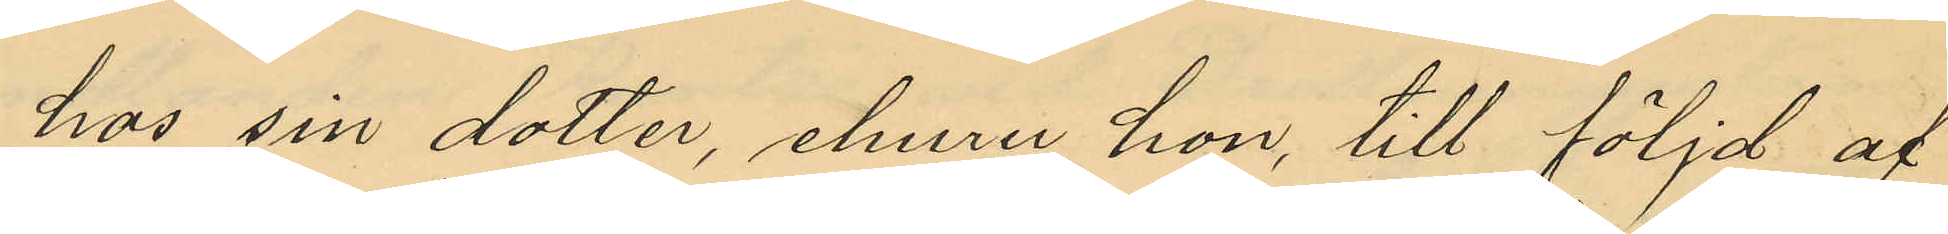hos sin dotter, ehuru hon till följd af
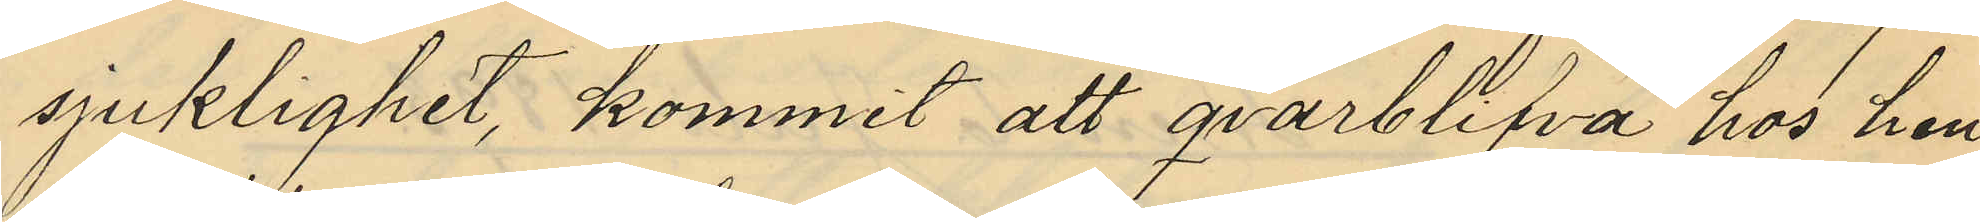sjuklighet, kommit att qvarblifva hos hen¬
